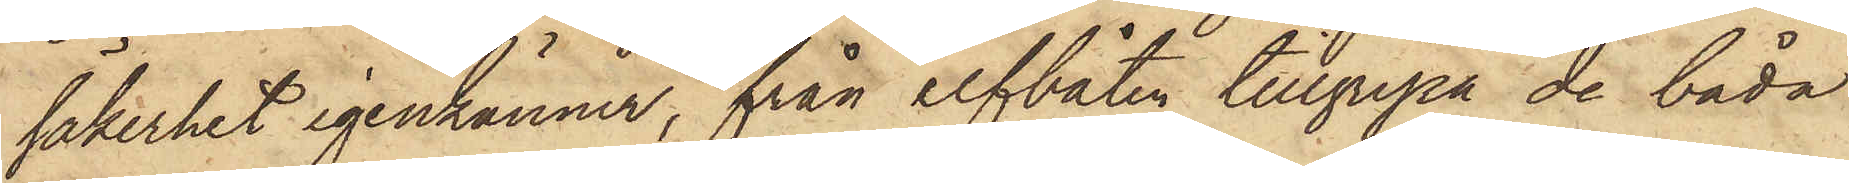säkerhet igenkänner, från elfbåten tillgripa de båda
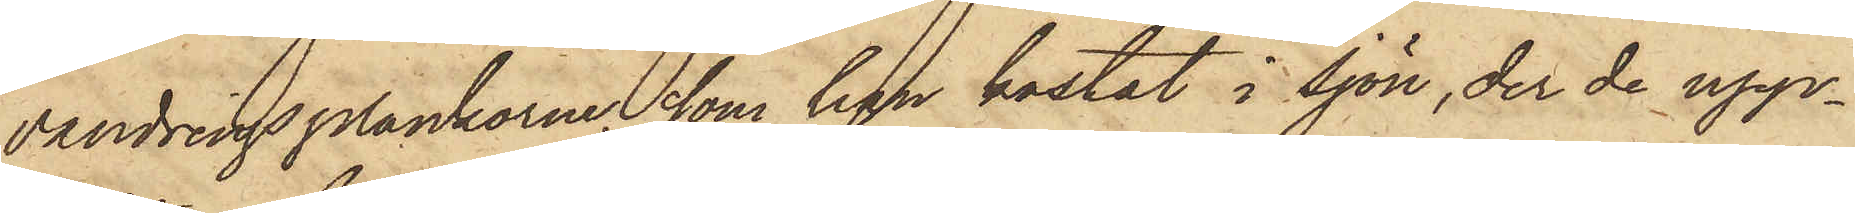vandringsplankarne, som han kastat i sjön, der de upp¬
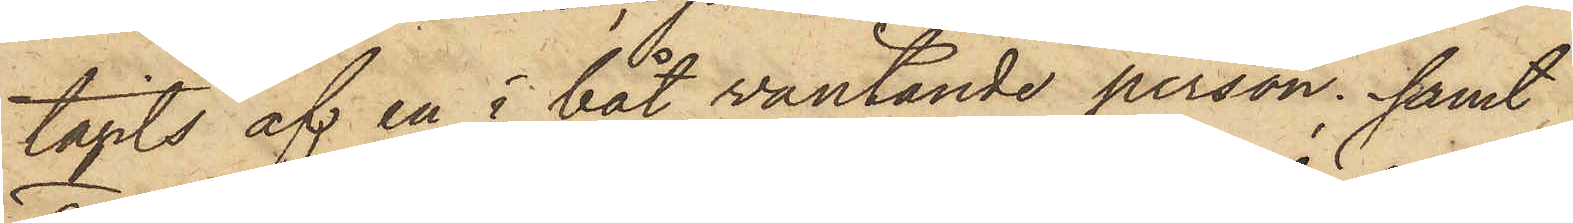tagits af en i båt väntande person; samt
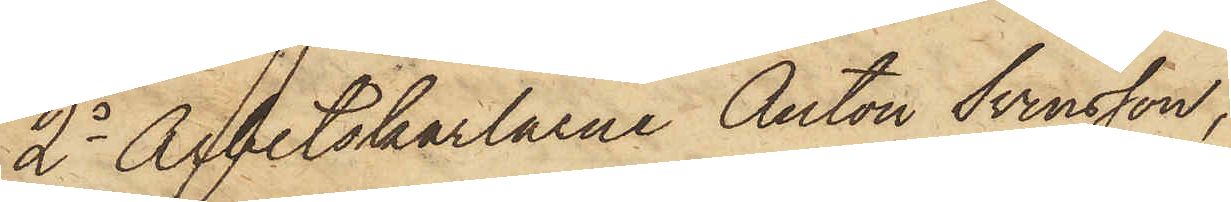2o Arbetskarlarne Anton Svensson,
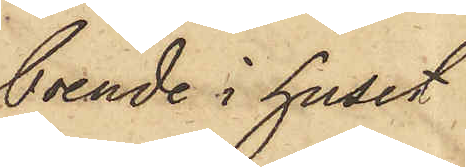boende i huset
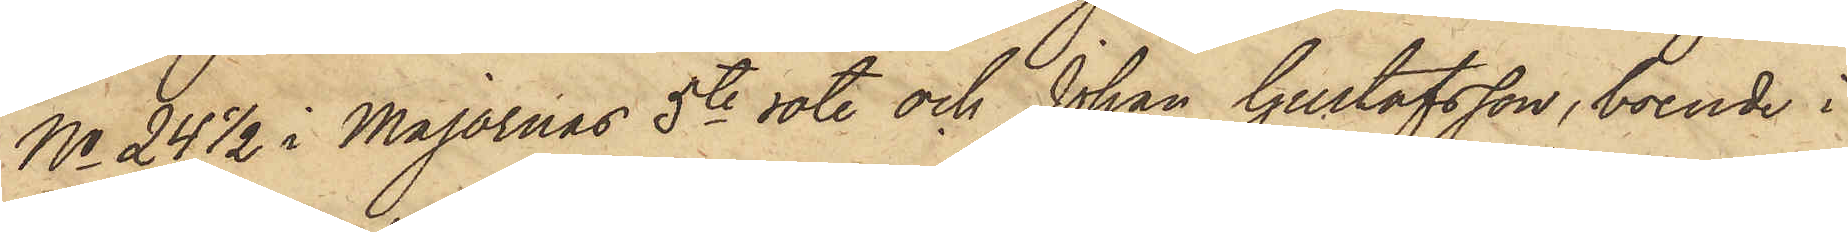No 24 1/2 i Majornas 5te rote och Johan Gustafsson, boende i
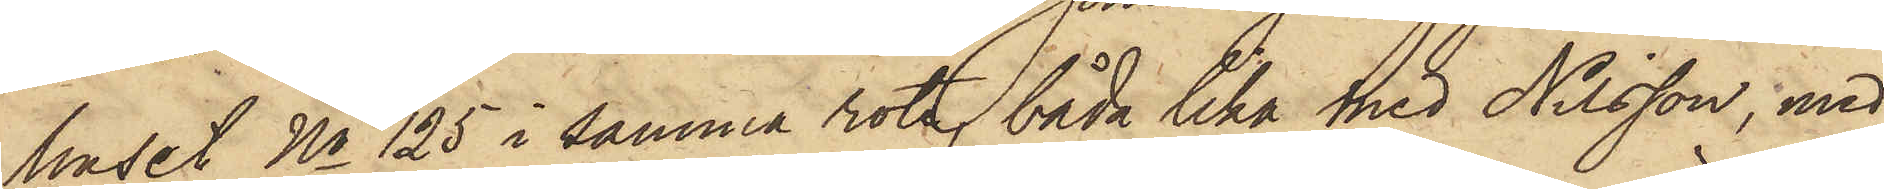huset No 125 i samma rote, båda lika med Nilsson, med
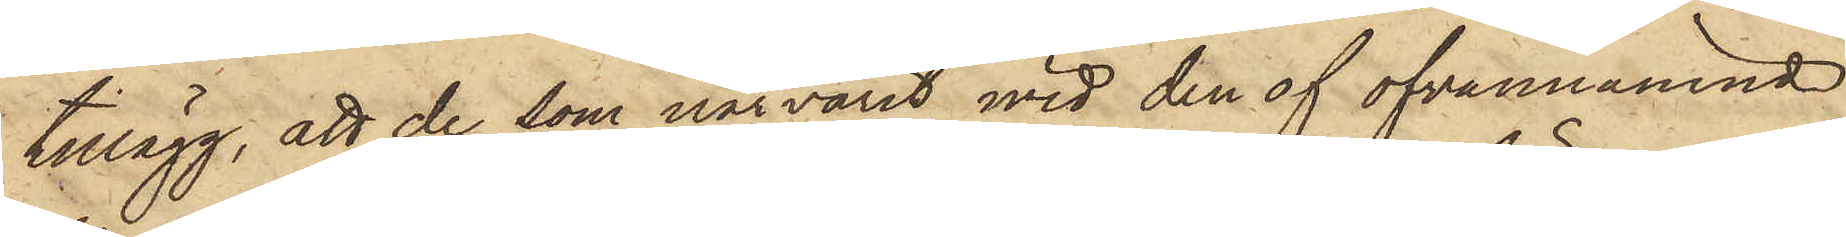tillägg, att de som närvarit med den af ofvannämnd
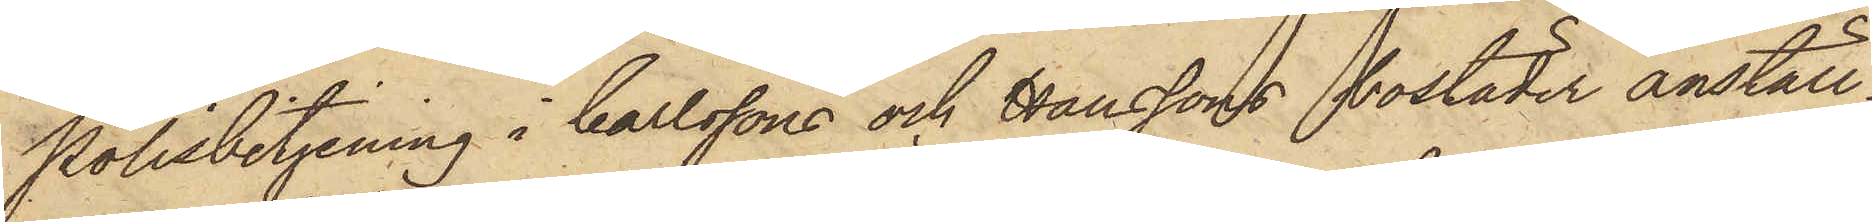Polisbetjening i Carlssons och Hanssons bostäder anställ¬
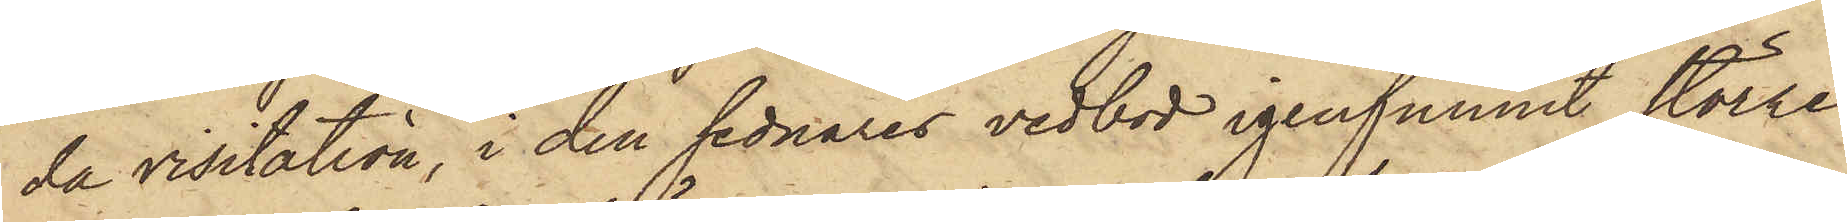da visitation, i den sednares vedbod igenfunnit större
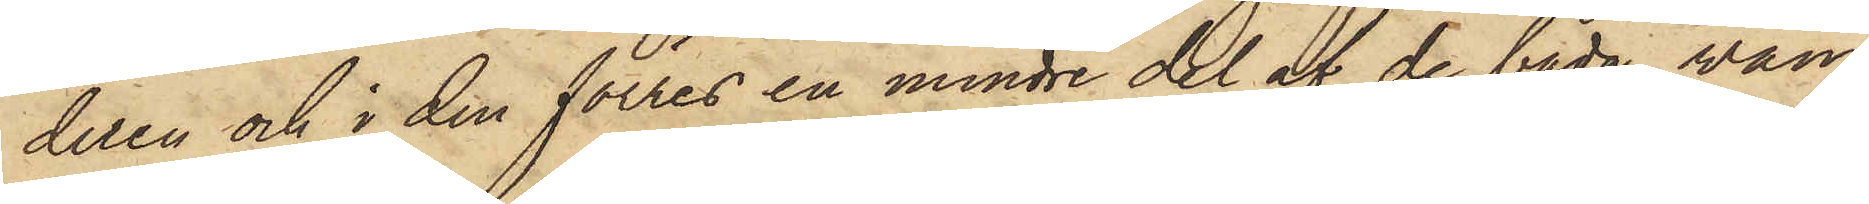delen och i den förres en mindre del af de båda wan¬
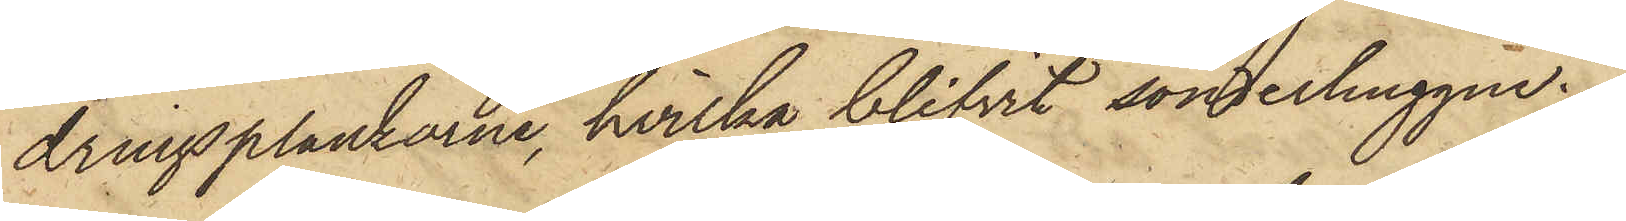dringsplankorne, hvilka blifvit sönderhuggne.
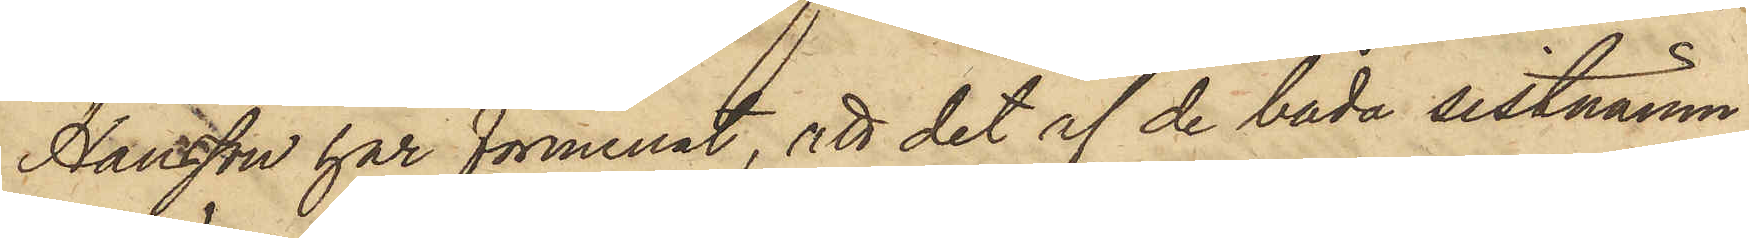Hansson har förmenat, att det af de båda sistnämn¬
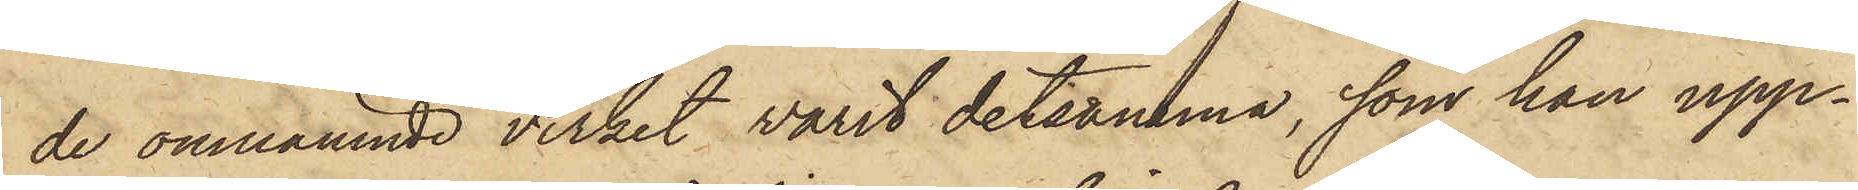de omnämnde virket varit detsamma, som han upp¬
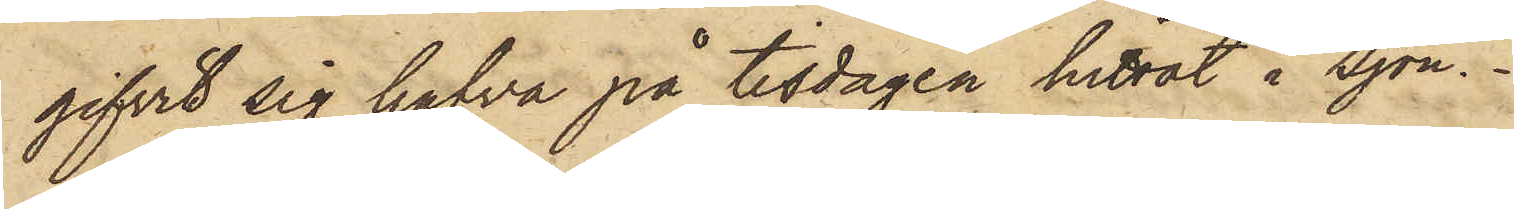gifvit sig hafva på tisdagen hittat i Sjön.
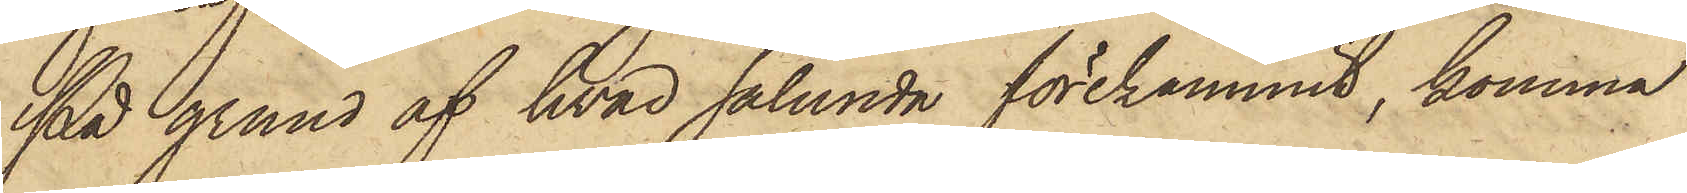På grund af hvad sålunda förekommit, komma
